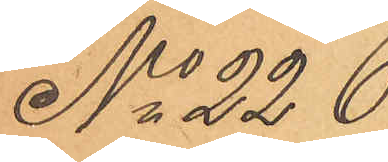No 226
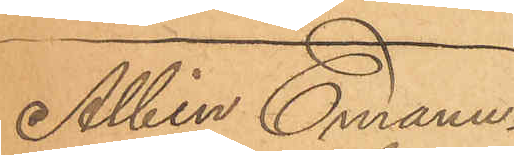Albin Emanu¬
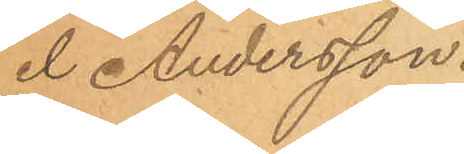el Andersson.
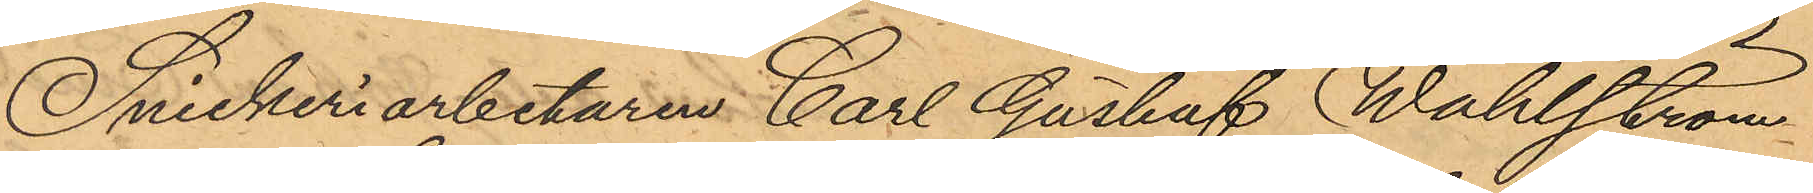Snickeriarbetaren Carl Gustaf Wahlström
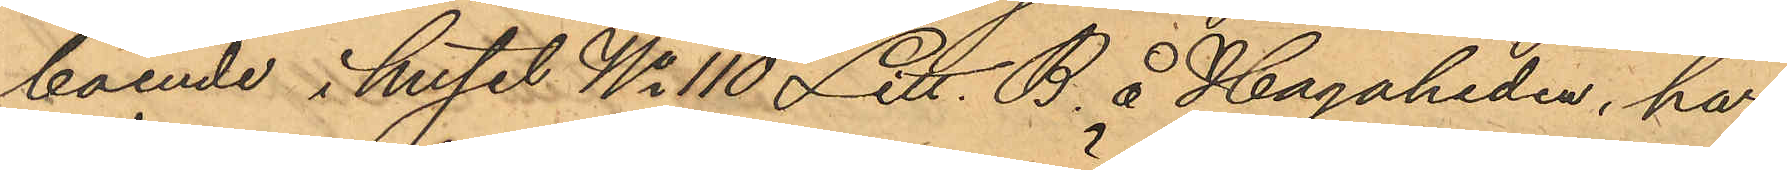boende i huset No 110 Litt. B. å Hagaheden, har
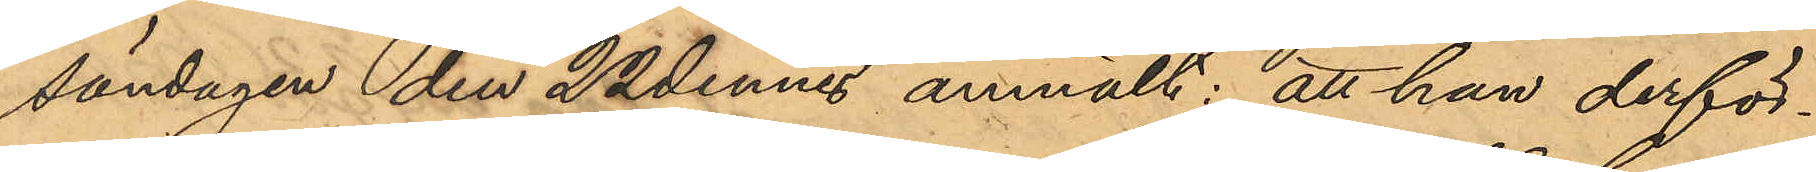söndagen den 22 dennes anmält: att han derför¬
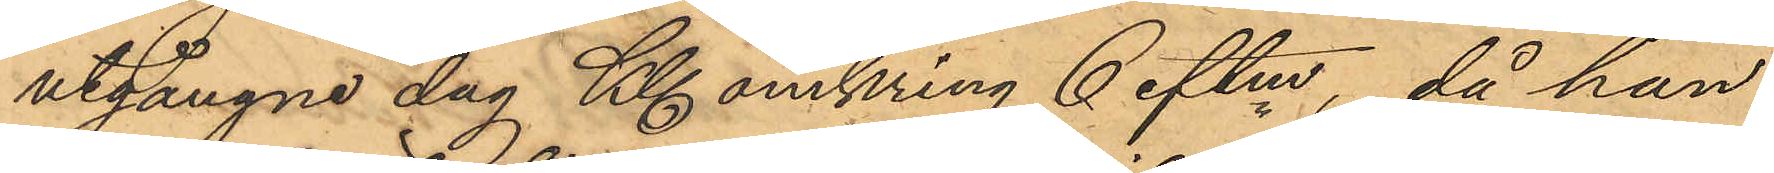utgångne dag Kl. omkring 6 eftm, då han
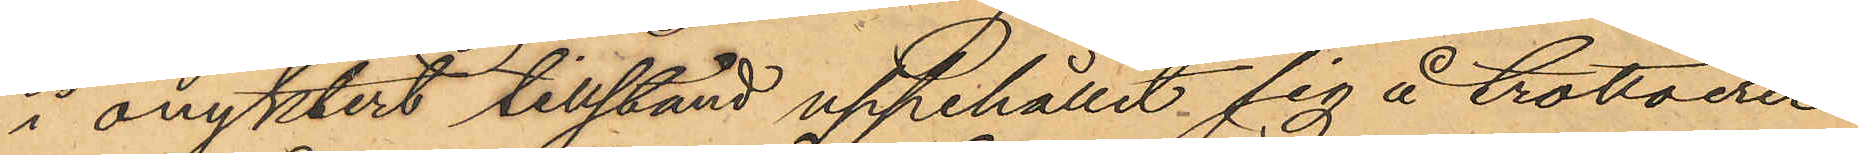i onyktert tillstånd uppehållit sig å trottoeren
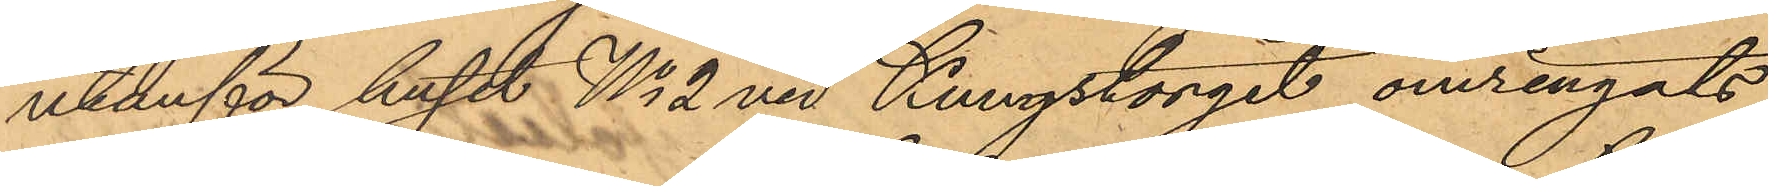utanför huset No 2 vid Kungstorget omringats
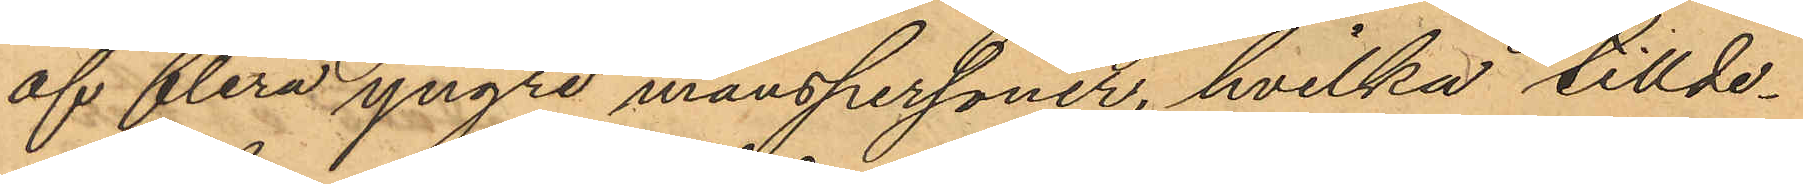af flera yngre manspersoner, hvilka tillde¬
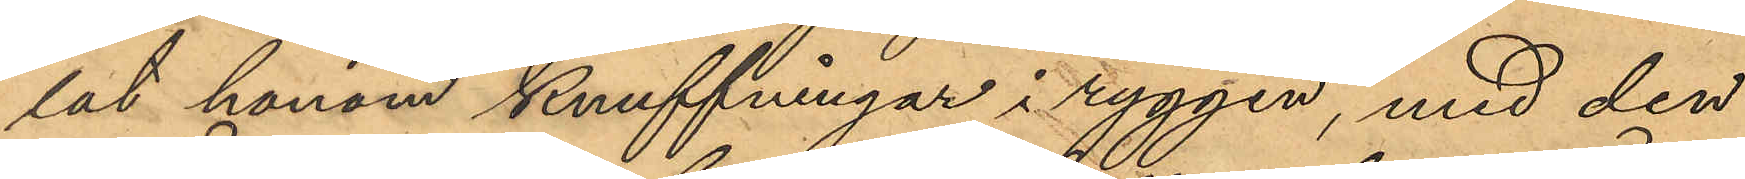lat honom knuffningar i ryggen, med den
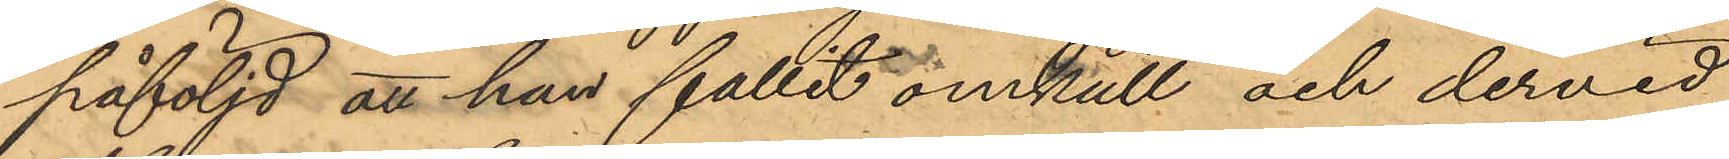påföljd att han fallit omkull och dervid
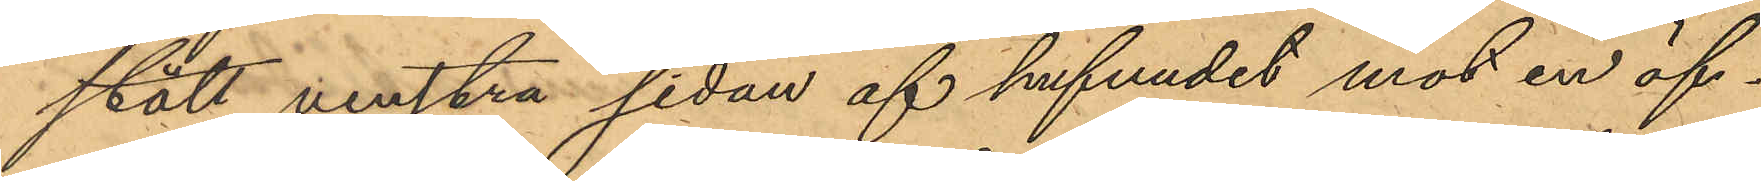slått venstra sidan af hufvudet mot en öf¬
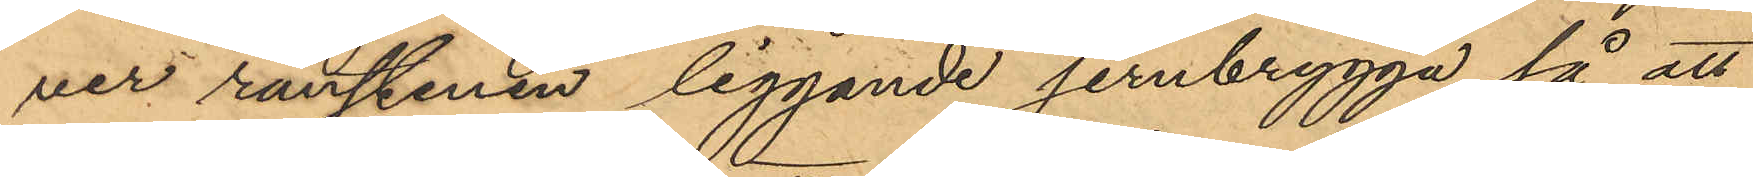ver ränstenen liggande jernbrygga så att
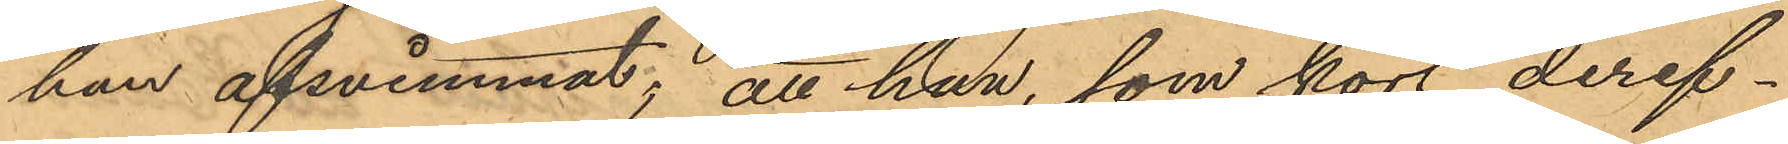han afsvimnnat; att han, som kort deref¬
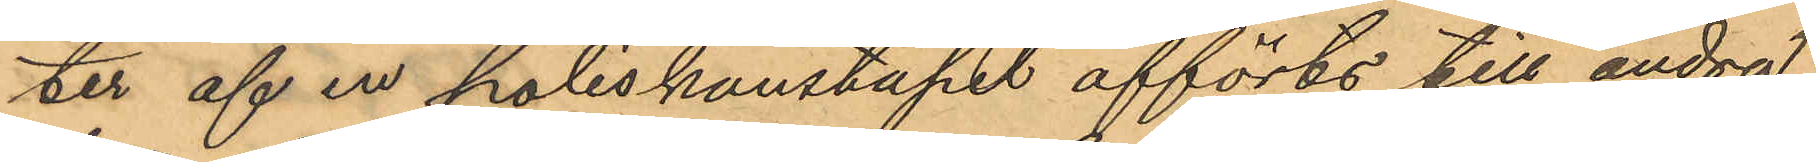ter af en poliskonstapel afförts till andra
